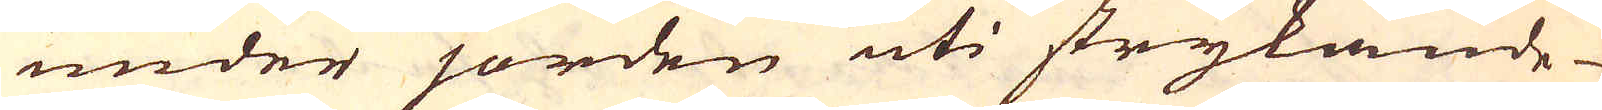under jorden uti strykande
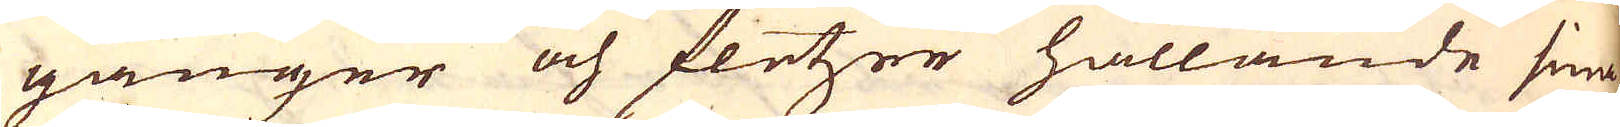gånger och fletzer hållande sina
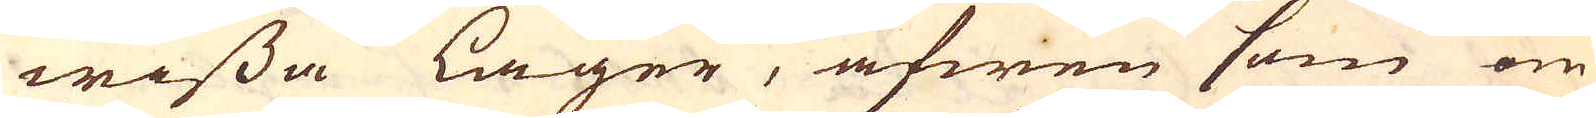wissa lager, äfwen som om
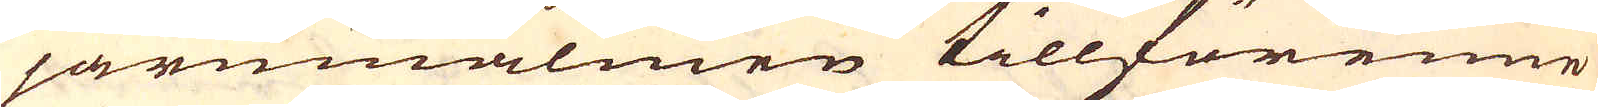järnmalmen tillförenne
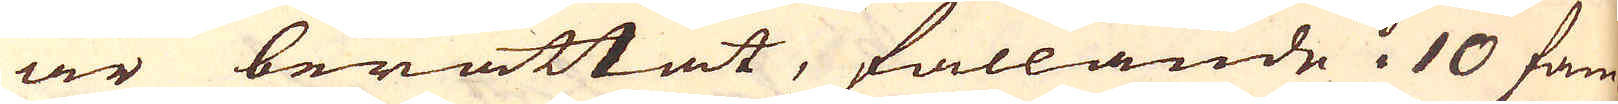är berättat, fallande i 10 fam-
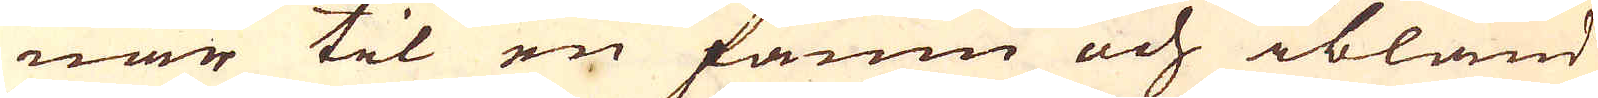nar til en famn och ibland
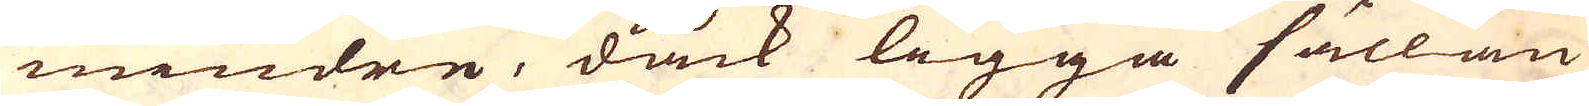mindre, dåck ligga sällan
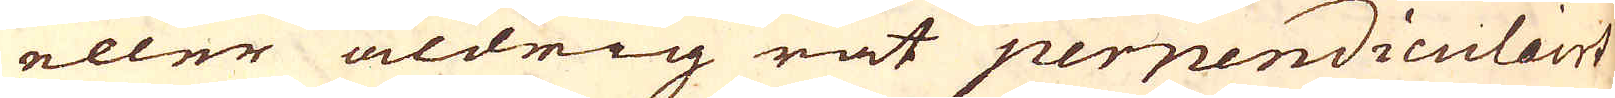eller aldrig rät perpendiculairt
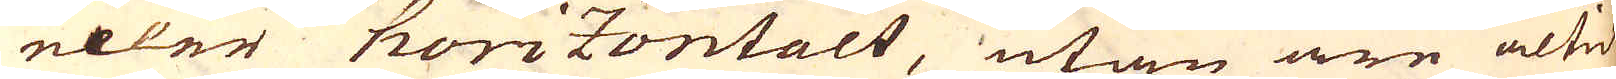eller horizontalt, utan äre altid
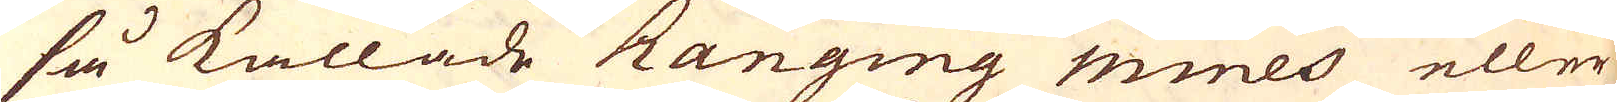så kallade Ranging mines eller
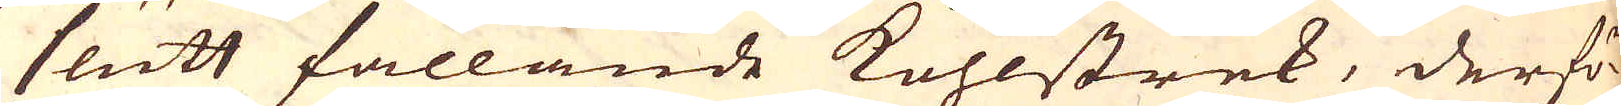slutt fallande kohlstrek, derfö-
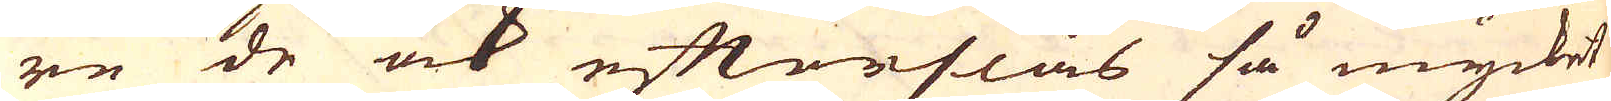re de ock efterslås så mycket
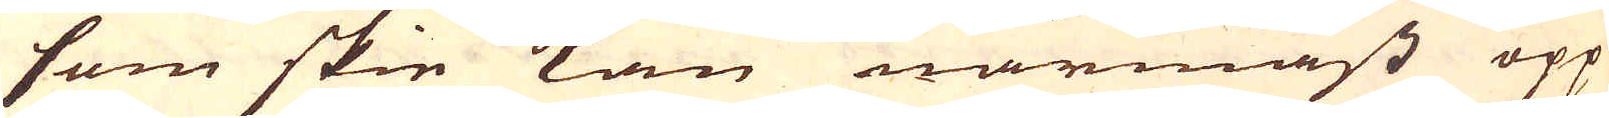som skie kan närmast opp
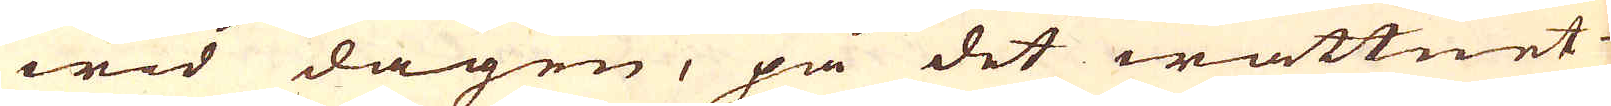wid dagen, på det wattnet
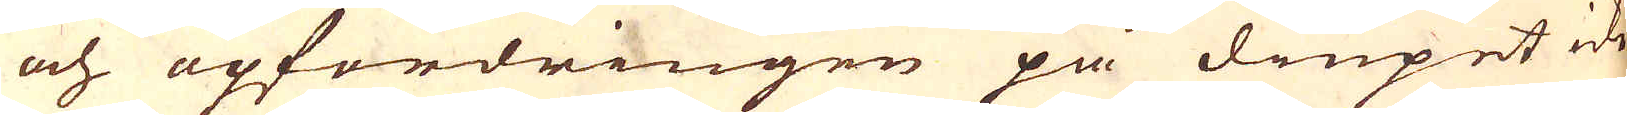och opfordringen på diupet icke
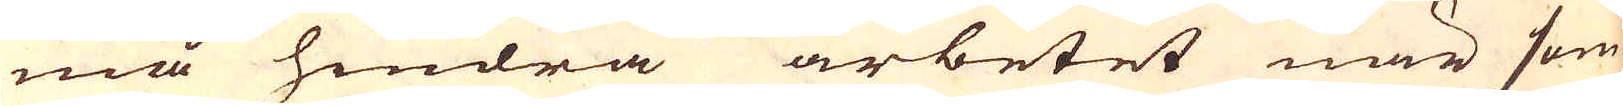må hindra arbetet när som
